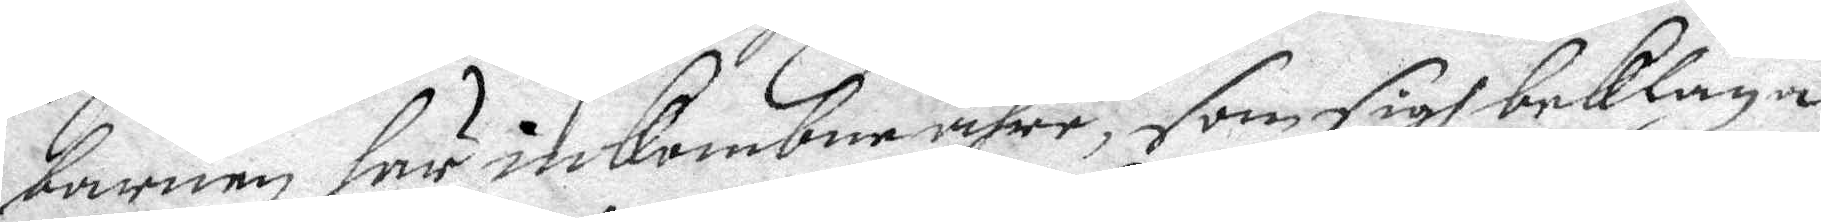barnen här inkombne ähre, som sigh beklaga
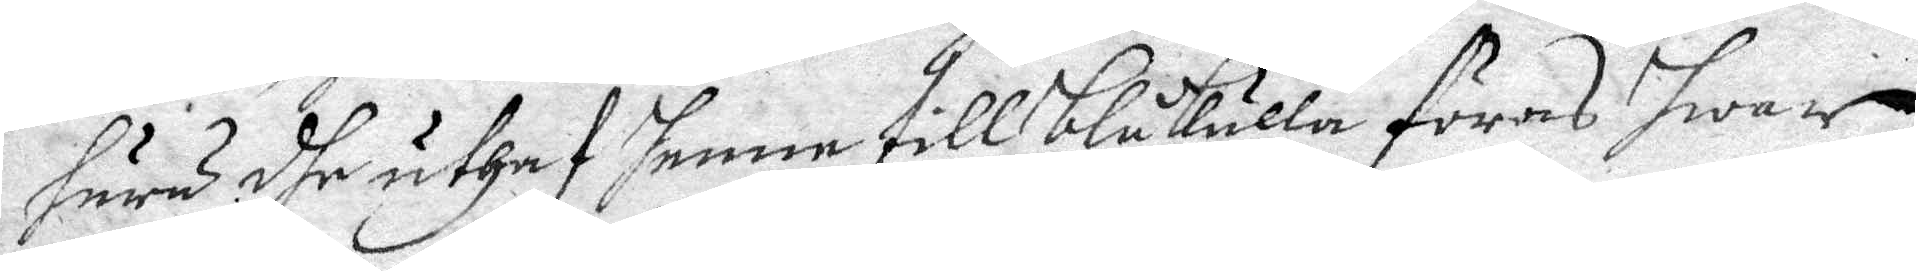huru dhe uthaf henne till blåkulla föras hwar
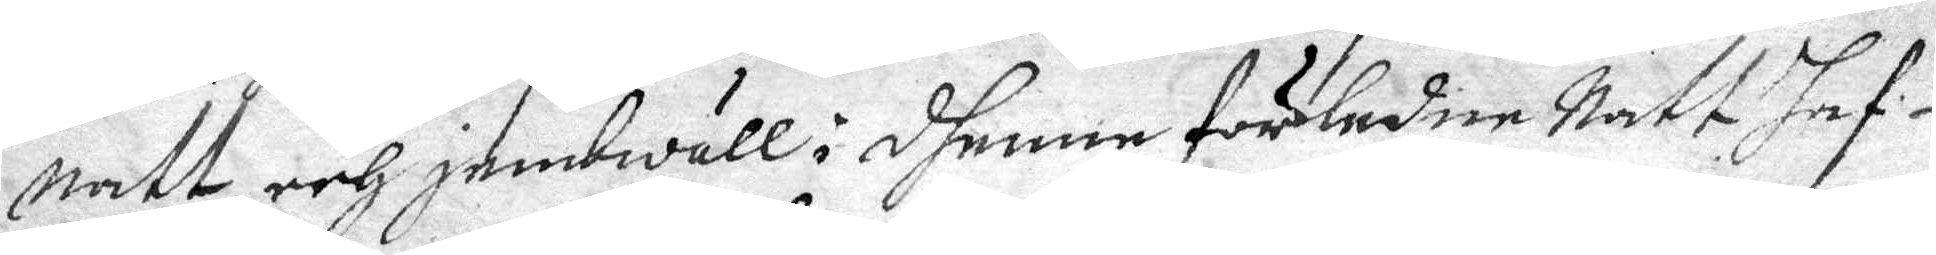natt och jembwäll i dhenna förledne Natt haf¬
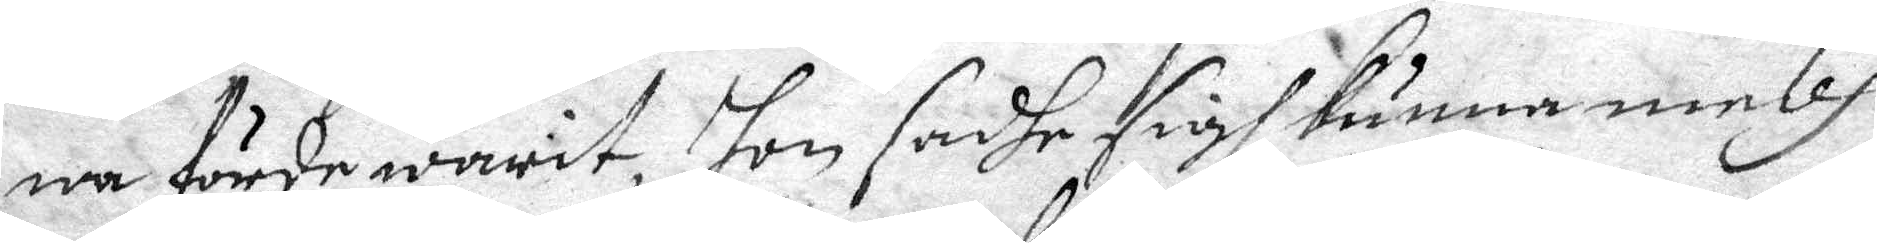wa förde warit, hon sadhe sigh kunna medh
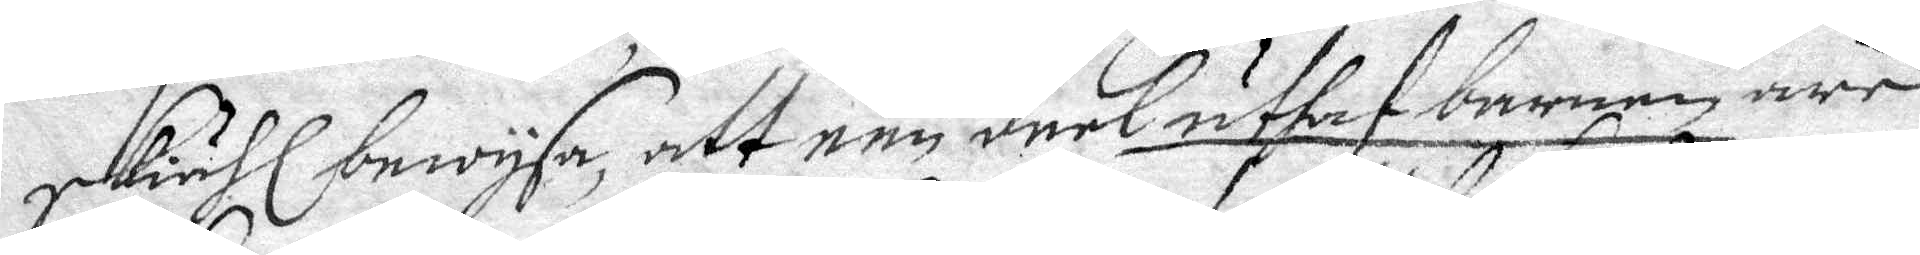skiähl bewysa, att een deel uthaf barnen äre
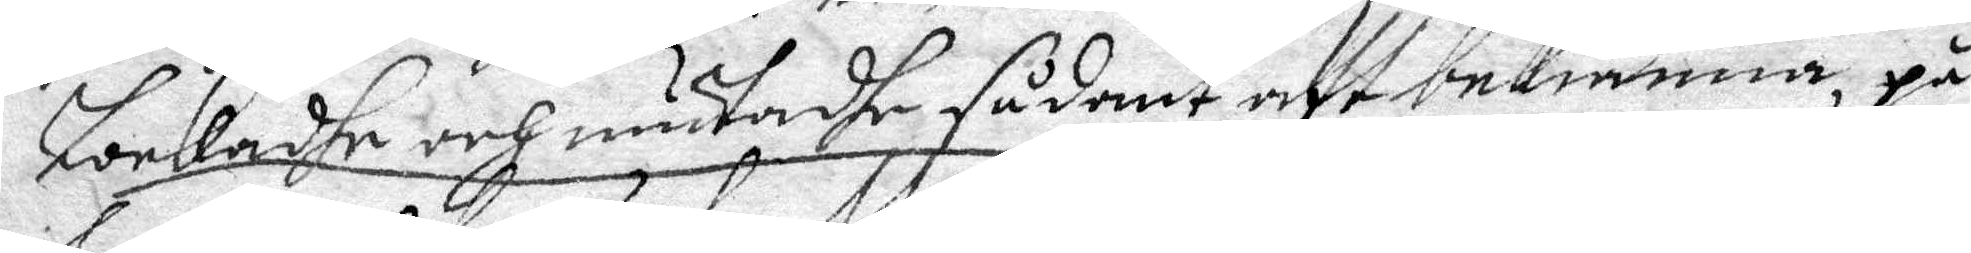lockadhe och mutadhe sådant att bekiänna på
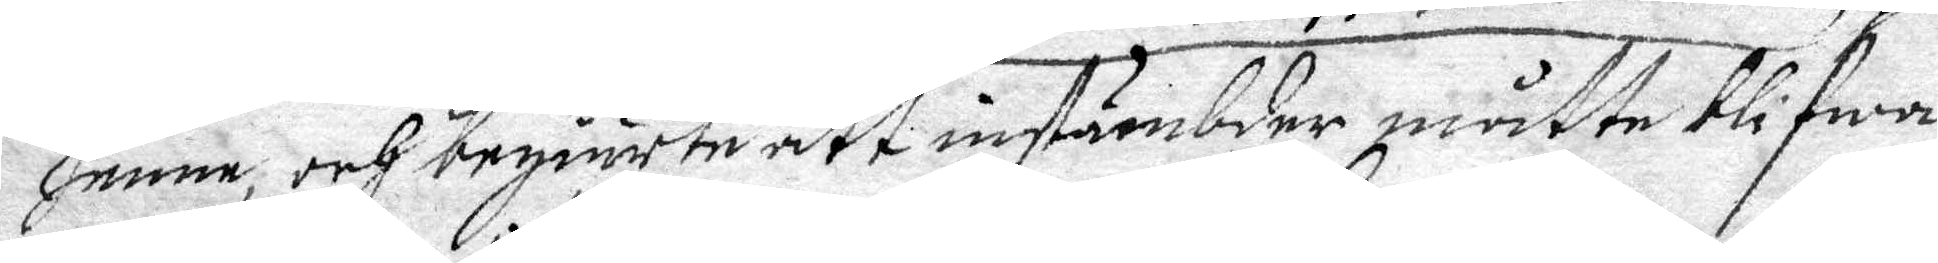henne och begiärte att instämbder måtte blifwa
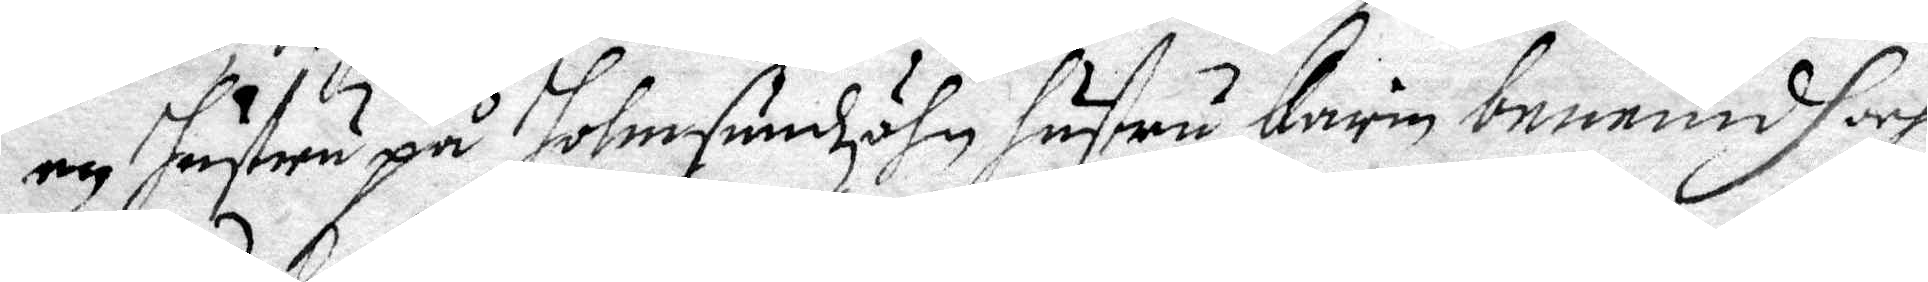een Hustru på Holmsundzöhn hustru Karin benemdh och
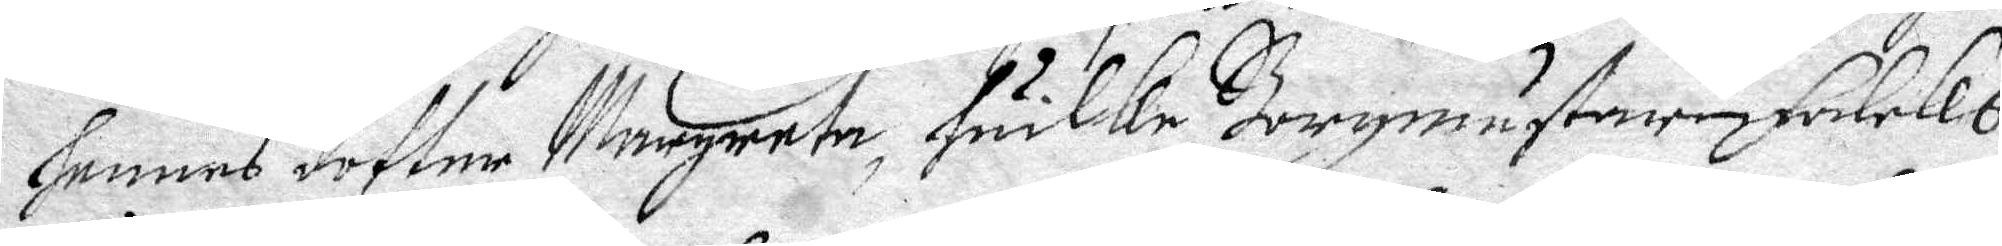hennes dotter Margareta, huilke Borgmästare Falcks
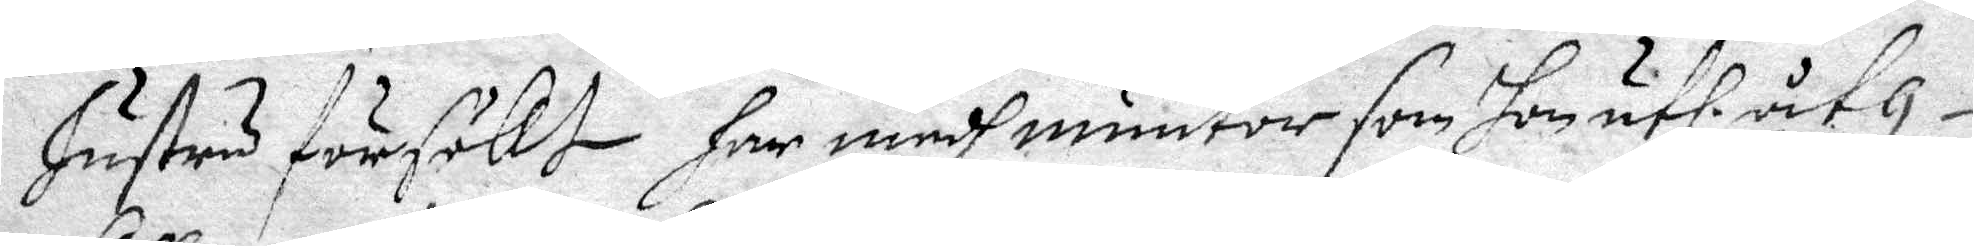Hustru försökt har medh muutor som hon uthi åth¬
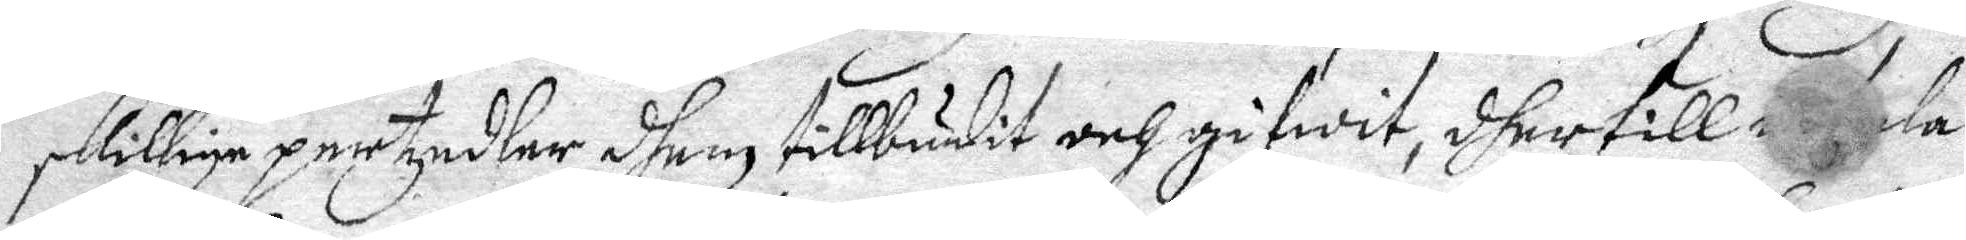skillige pertzedlar dhem tillbudit och gifwit, dher till o...ala
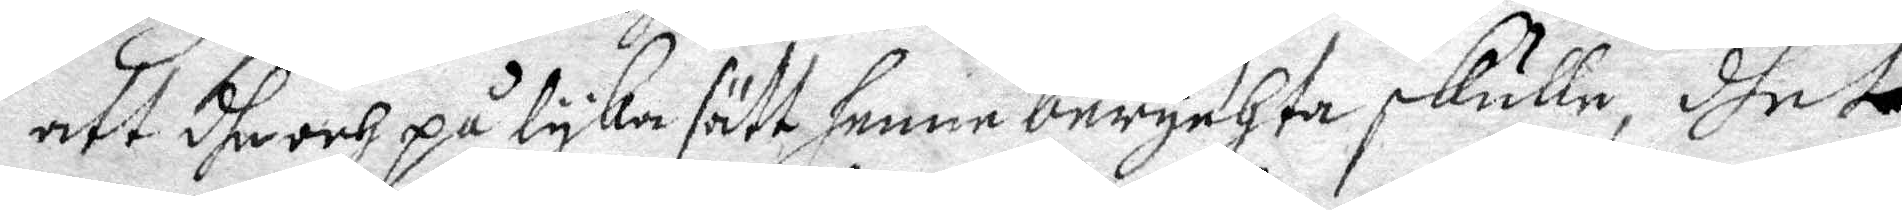att dhe och på lyka sätt henne berychta skulle, dhet
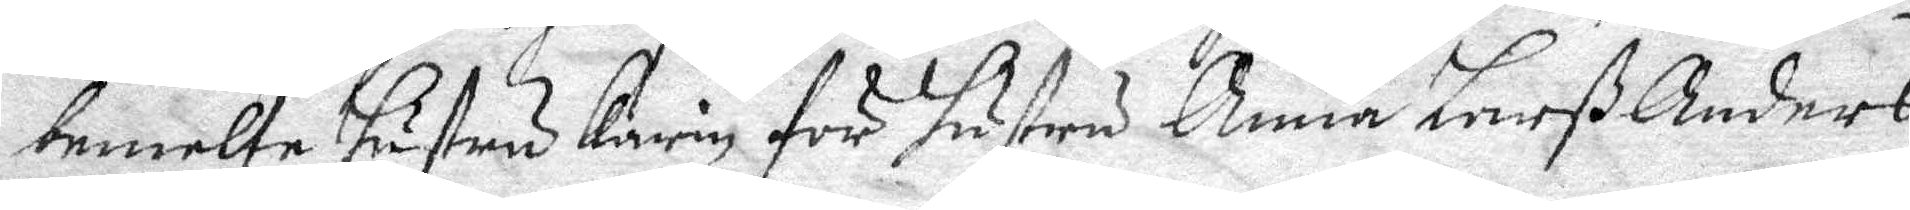bemelte hustru Karin för hustru Anna Larß Anders
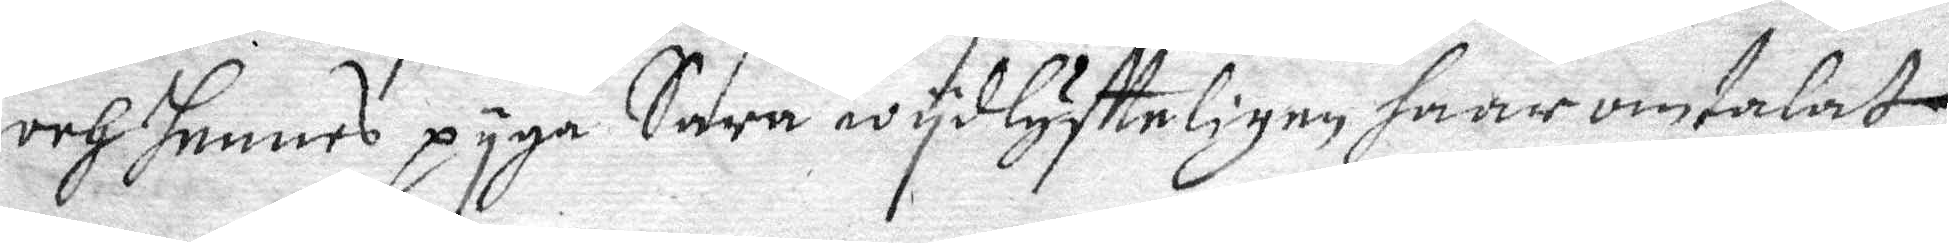och hennes pyga Sara wydlyftteligen haar omtalat
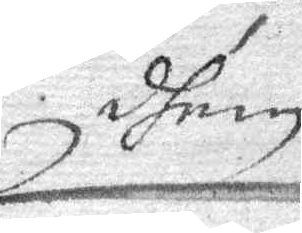dhem
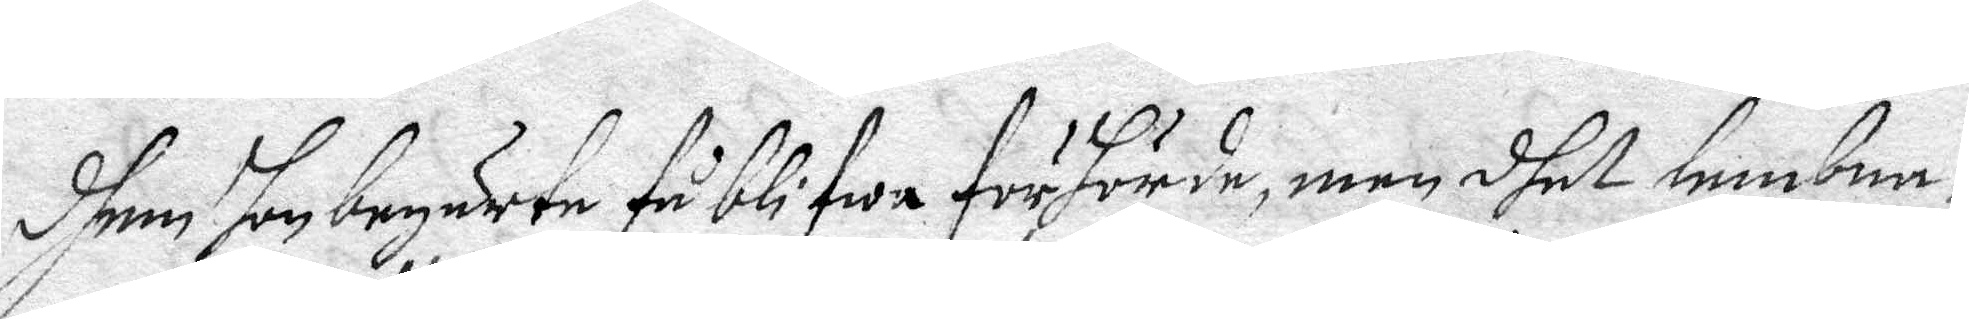dhem hon begärte få blifwa förhörde, men dhet lembna¬
